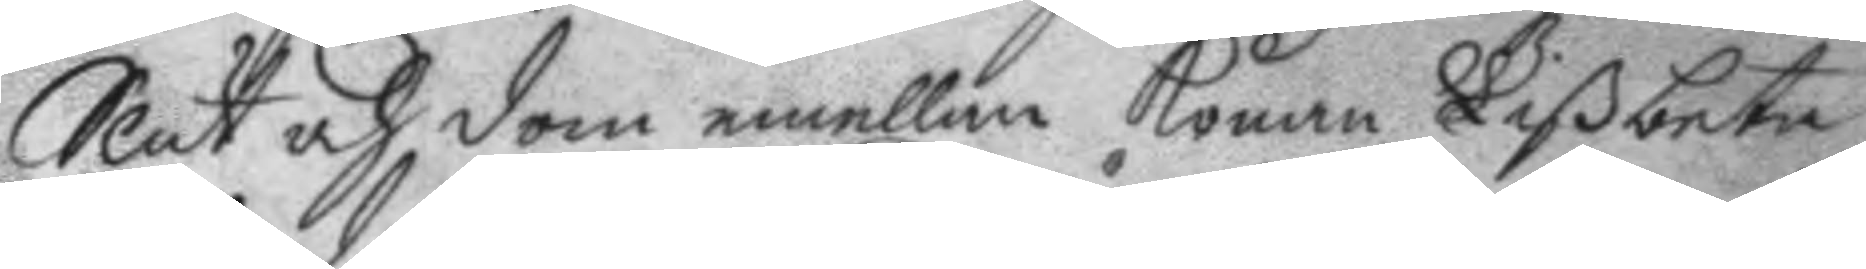Slut och dom emellan konan Lißbeta
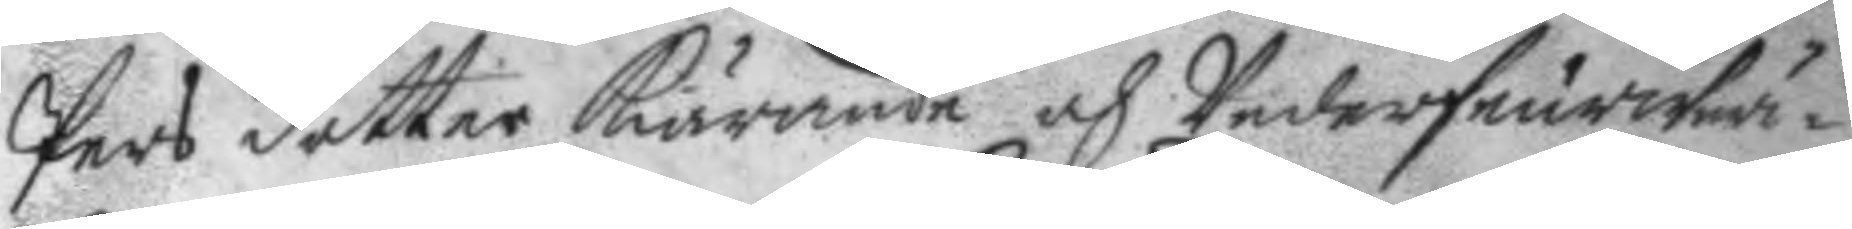Pers dotter kiärande och Underfeurwär¬
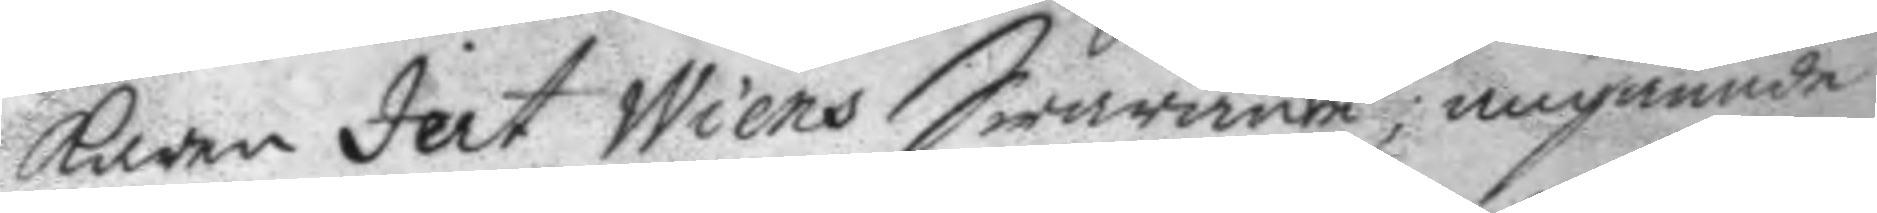karen Jert Wiens Swarande, angående
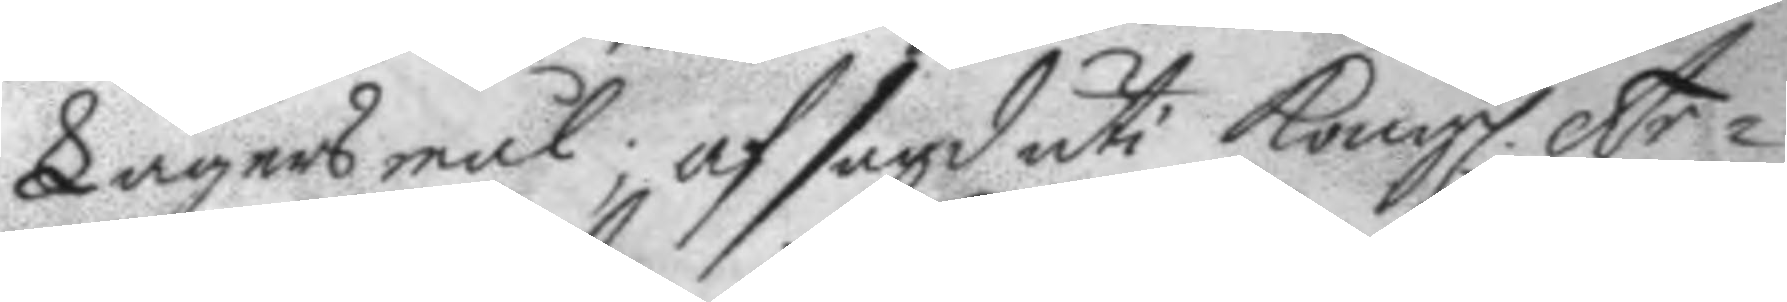Lägersmål; afsagd uti Kongl. Ar¬
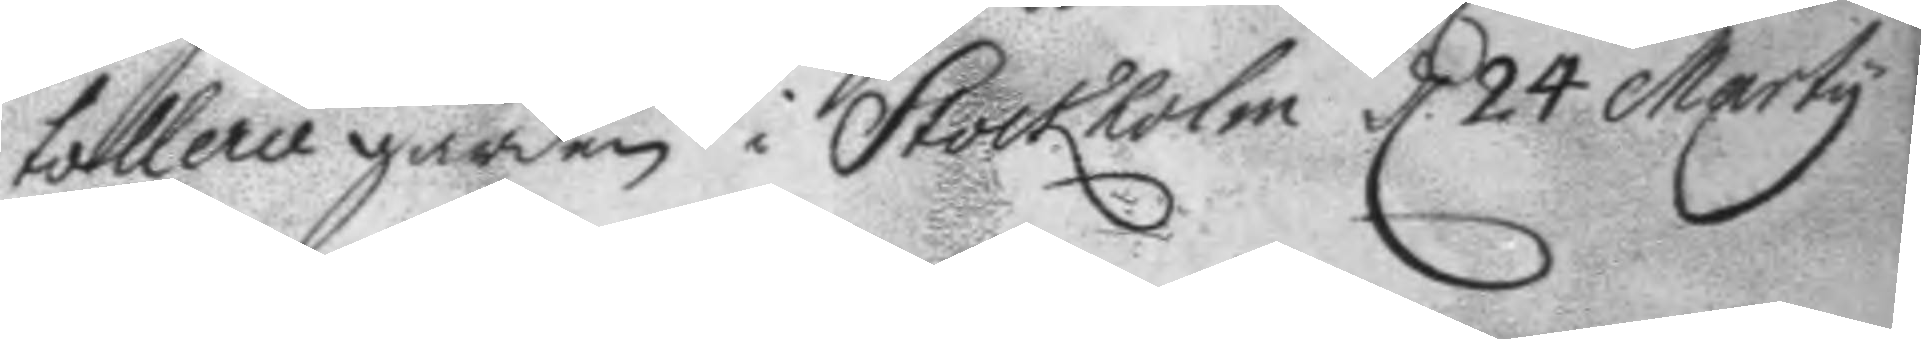tollerie gården i Stockholm d. 24 Marty
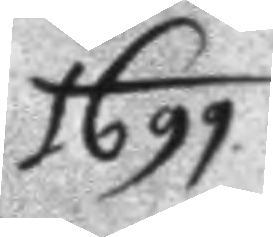1699.
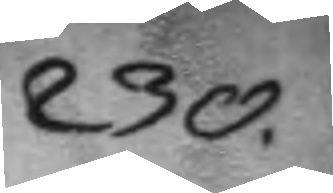230.
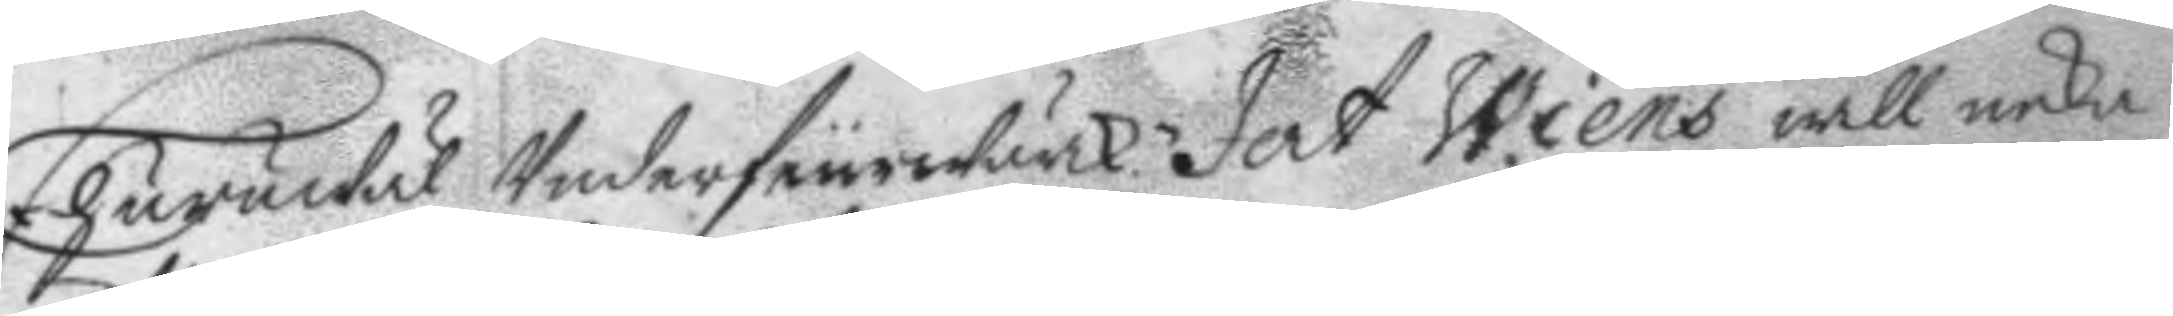Ehuruwäl Underfeurwärk. Jert Wiens will neka
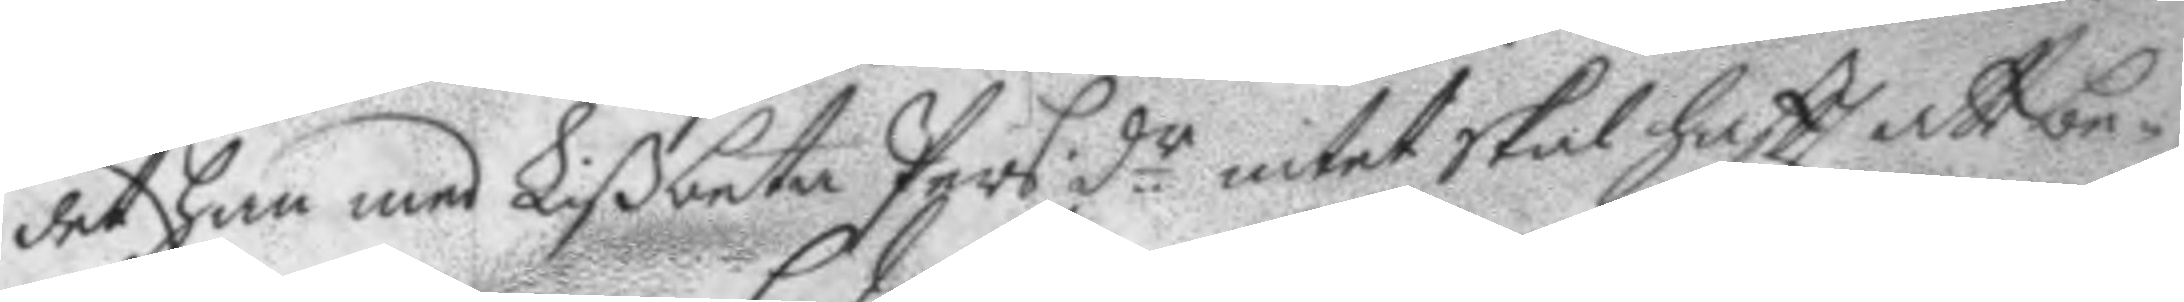det han med Lißbeta Pers d.r intet skal haftt att be¬
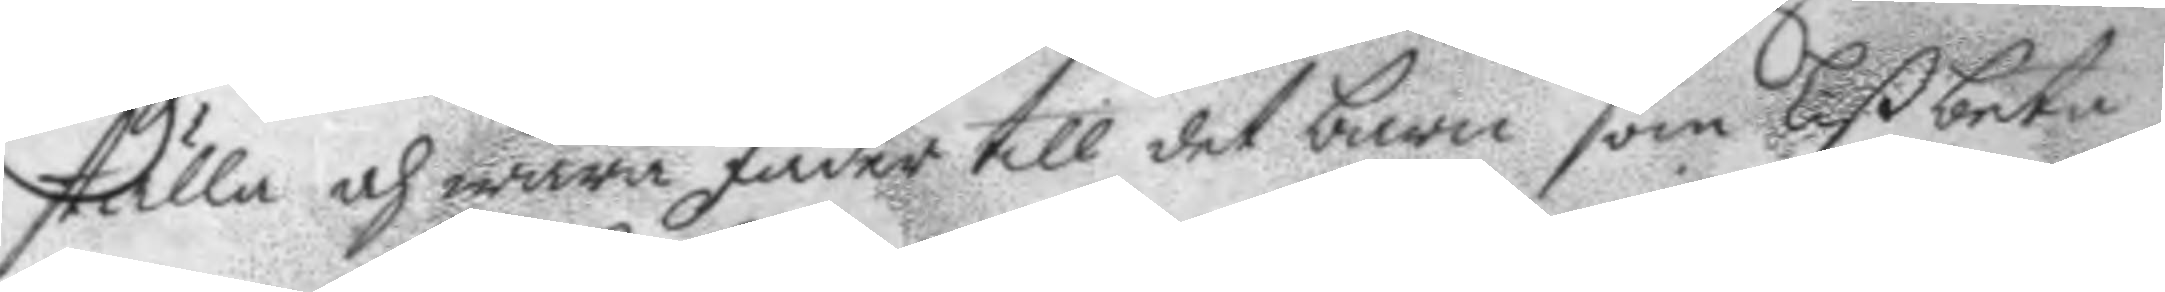ställa och wara fader till det barn som Lißbeta
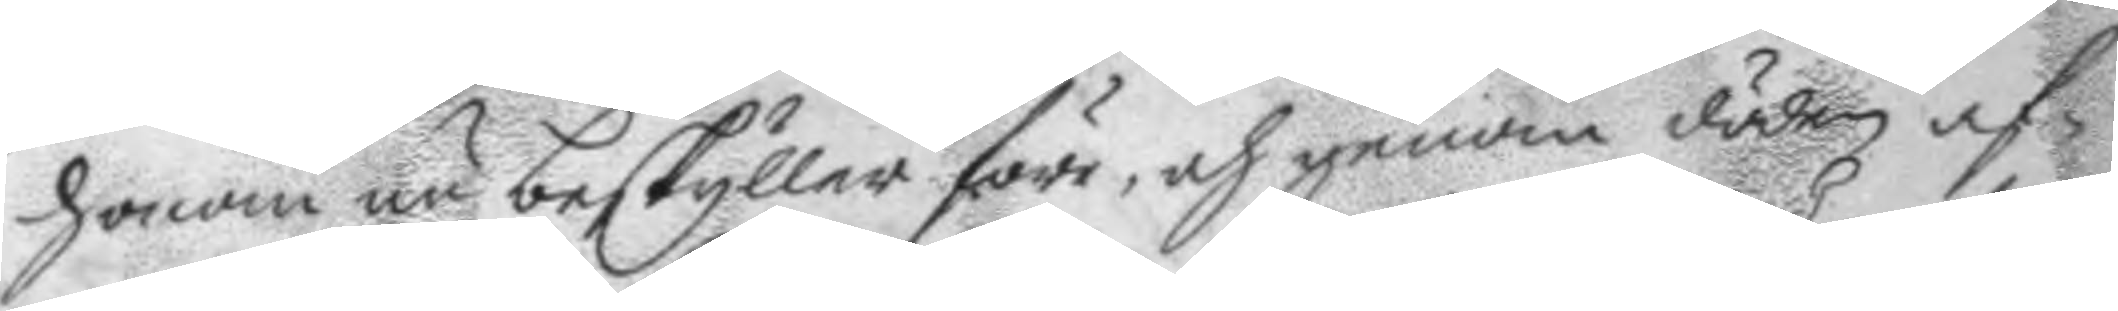honom nu beskyller före, och genom döden af¬
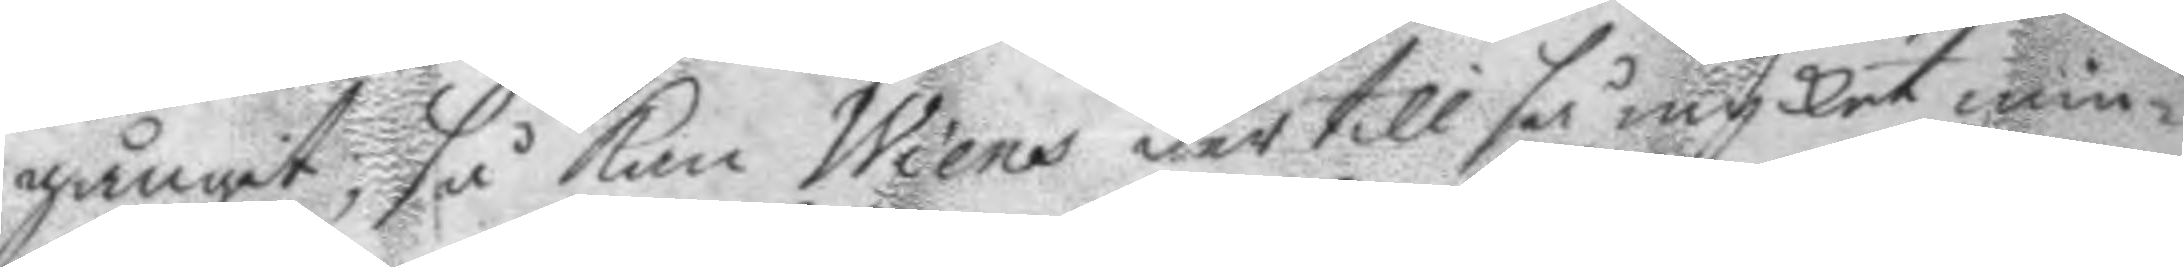gångit; så kan Wiens der till så mycket min¬
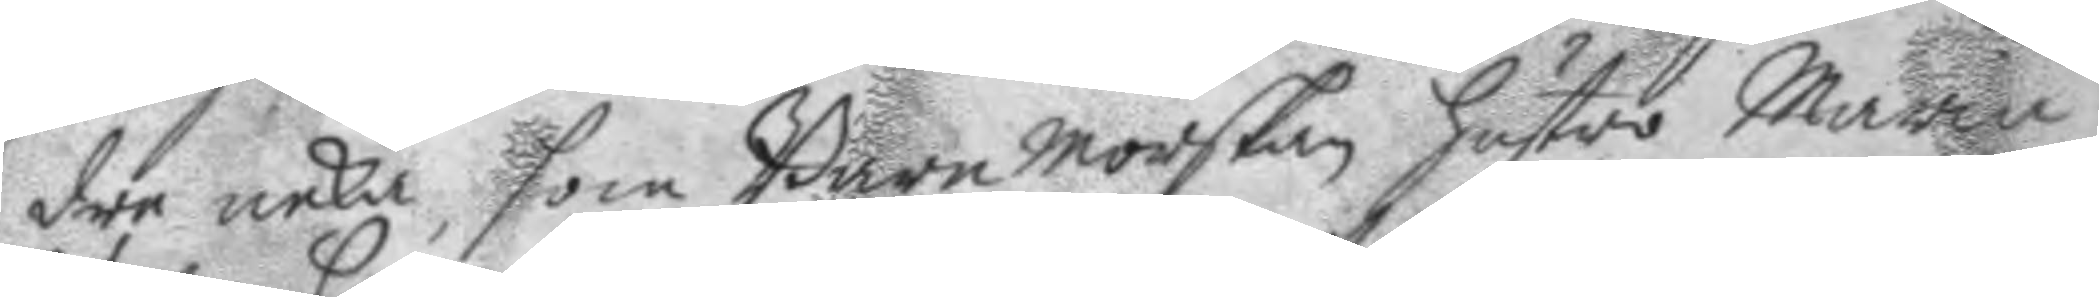dre neka, som Barnmorskan hustro Maria
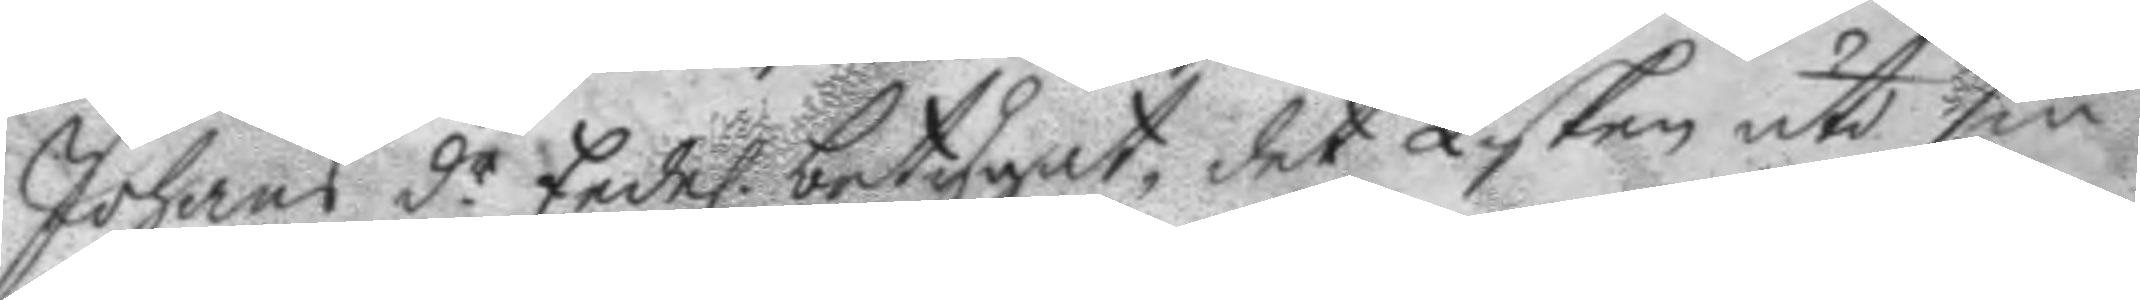Johans d.r Eedel. betygat det Lisken uti sin
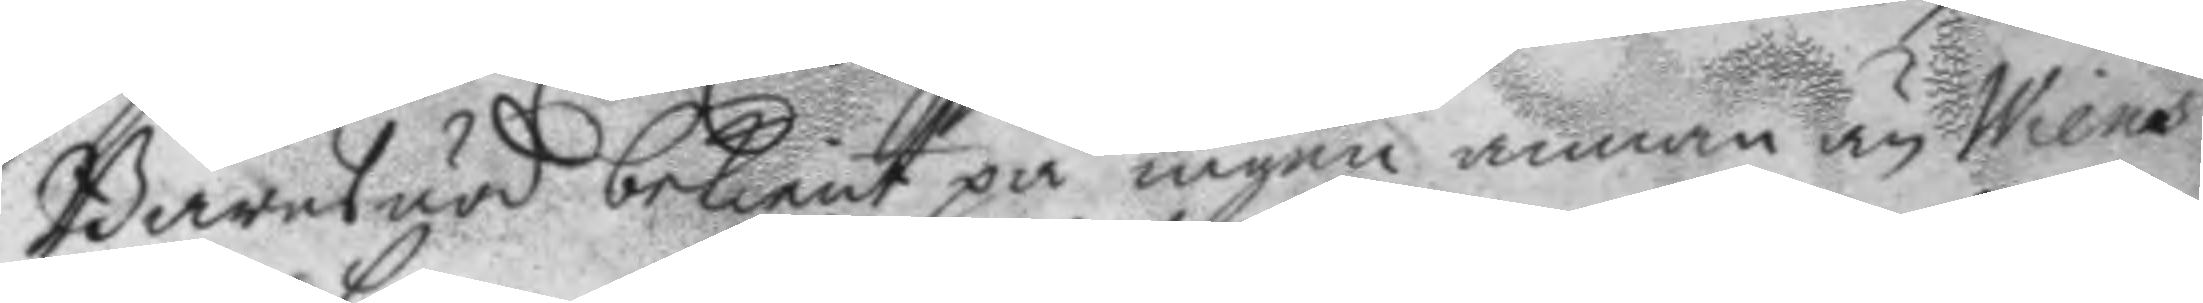Barnsnöd bekient på ingen annan än Wiens
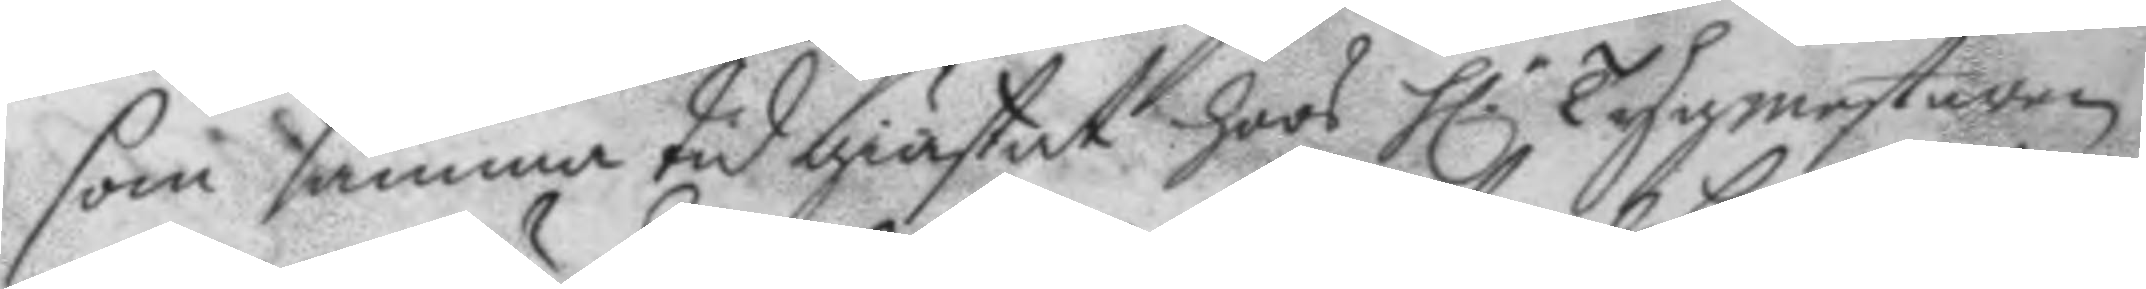som samma tyd giästat hoos h.r tygmestaren
